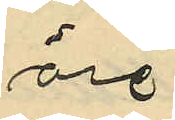öre
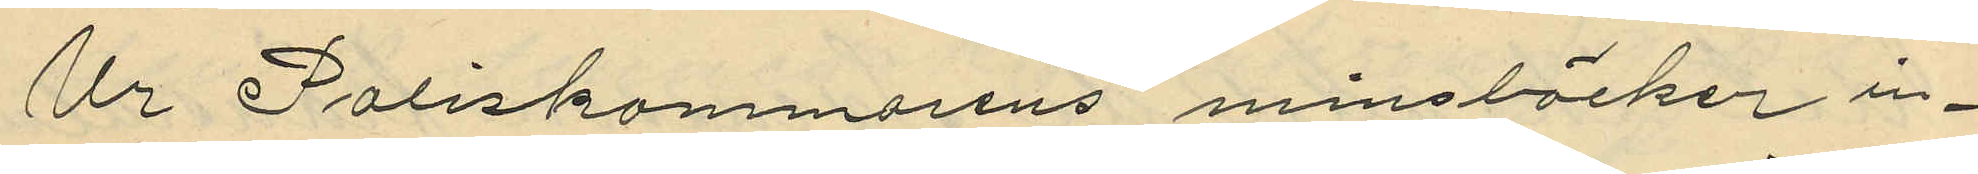Ur Poliskammarens minsböcker in¬
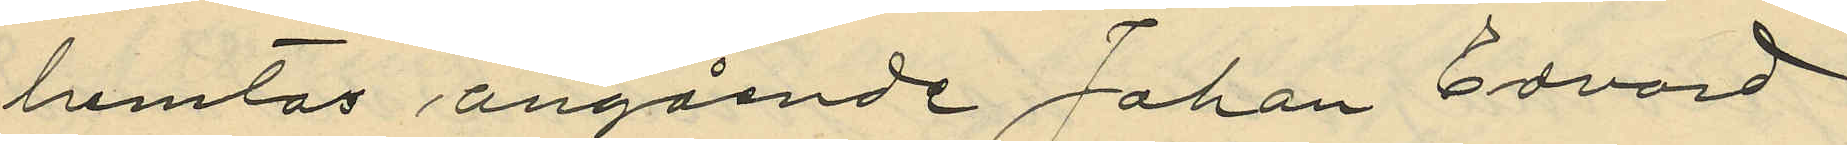hemtas angående Johan Edvard
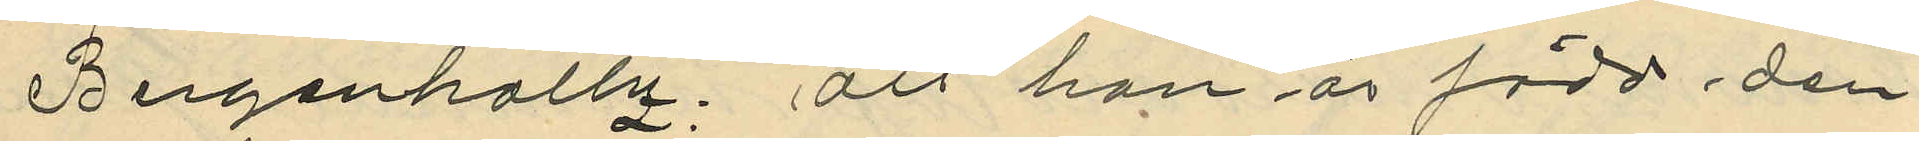Bergenholtz; att han är född den
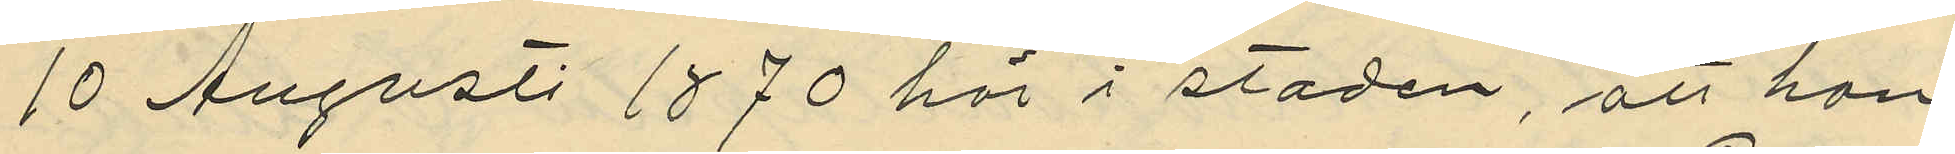10 Augusti 1870 här i staden, att han
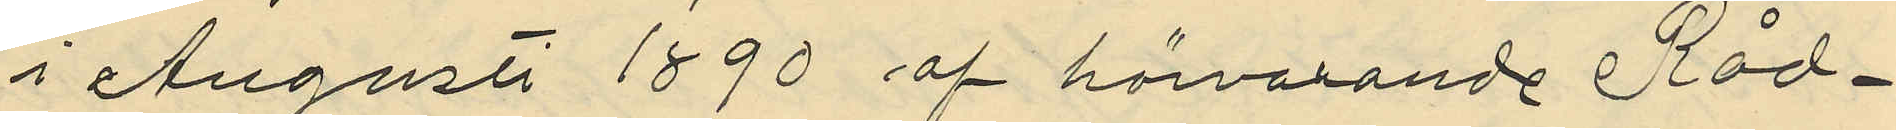i Augusti 1890 af härvarande Råd¬
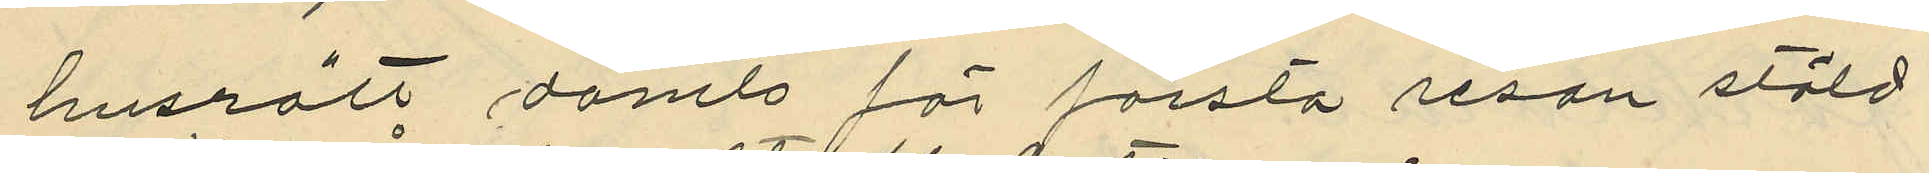husrätt dömts för första resan stöld
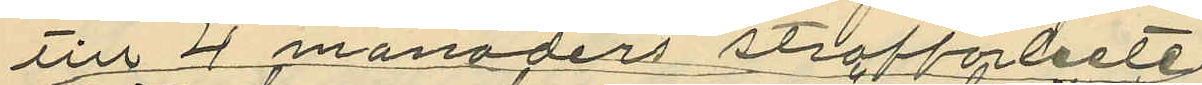till 4 månaders straffabete
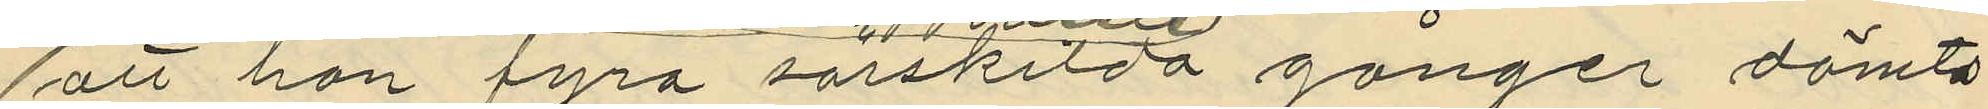att han fyra särskilda gånger dömts
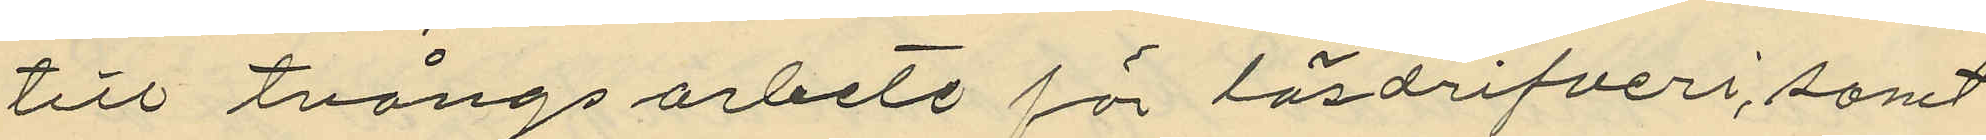till tvångsarbete för lösdrifveri, samt
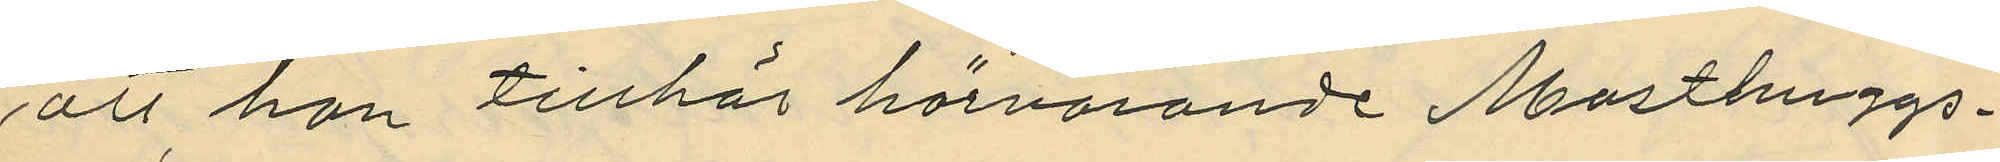att han tillhör härvarande Masthuggs¬
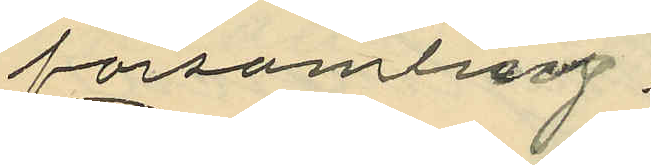församling.
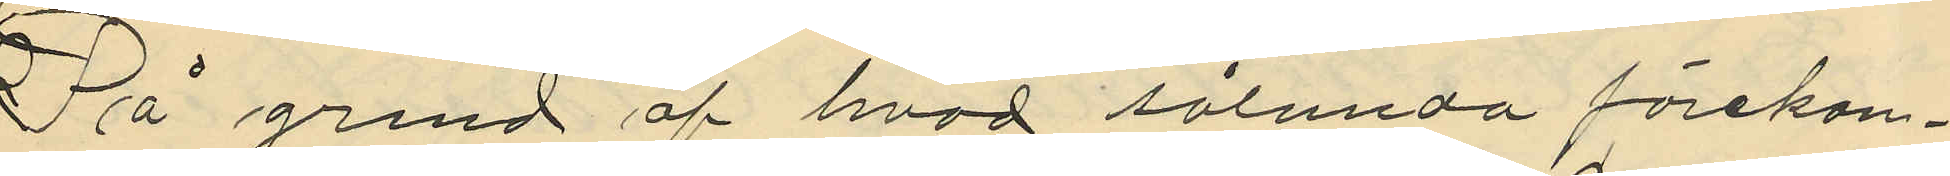På grund af hvad sålunda förekom¬
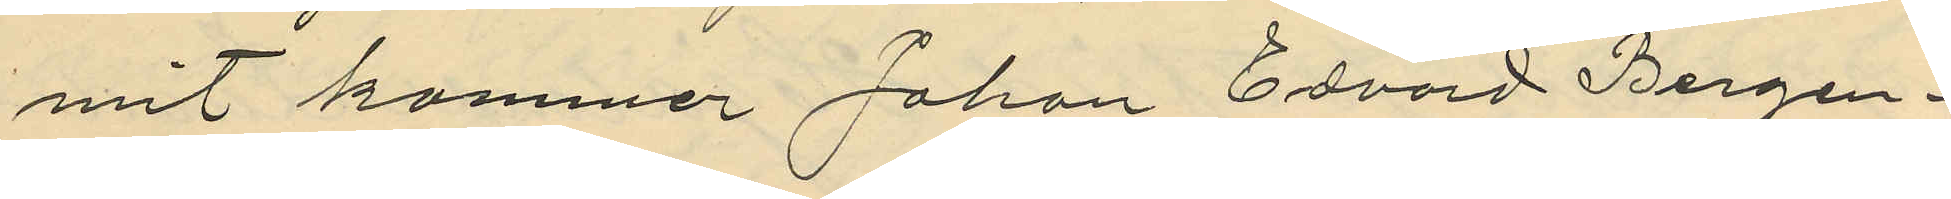mit kommer Johan Edvard Bergen¬
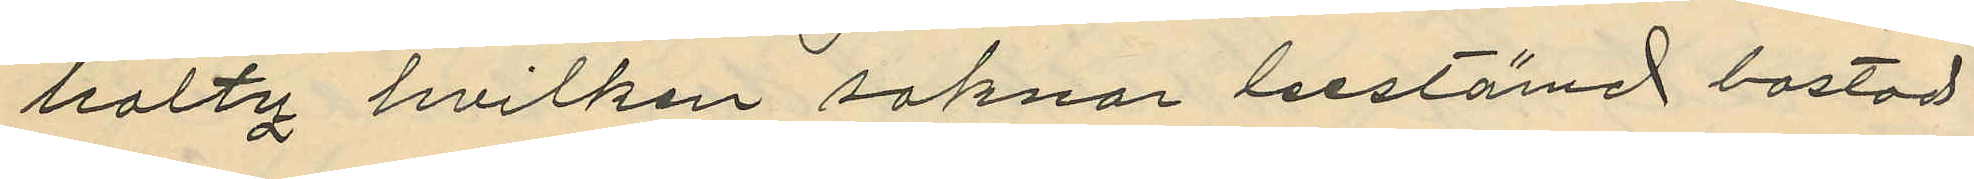holtz hvilken saknar bestämd bostad
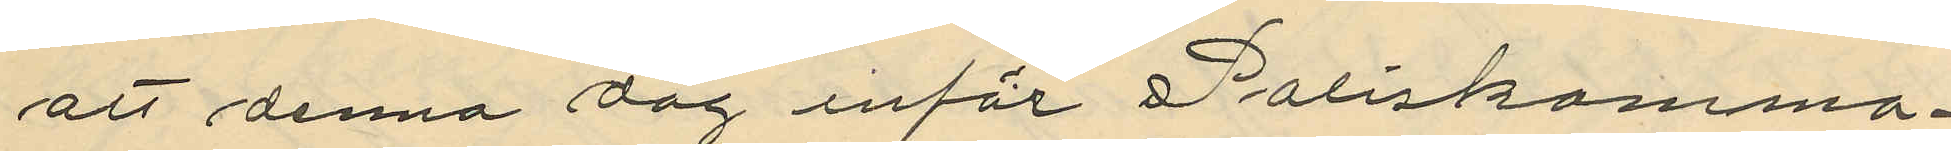att denna dag inför Poliskamma¬
